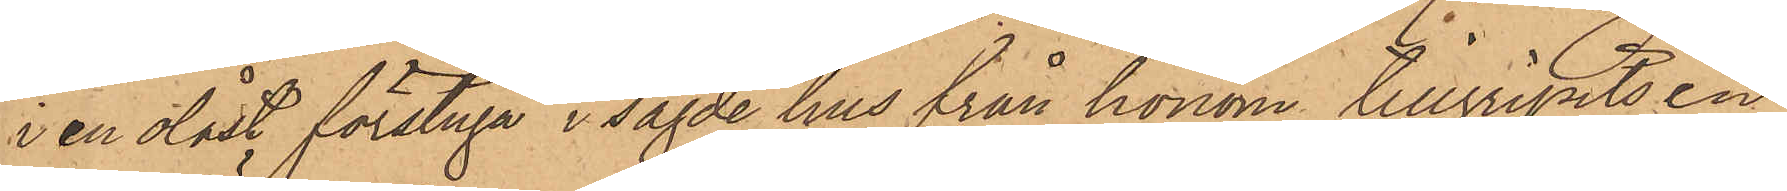i en olåst förstuga i sagde hus från honom tillgripits en
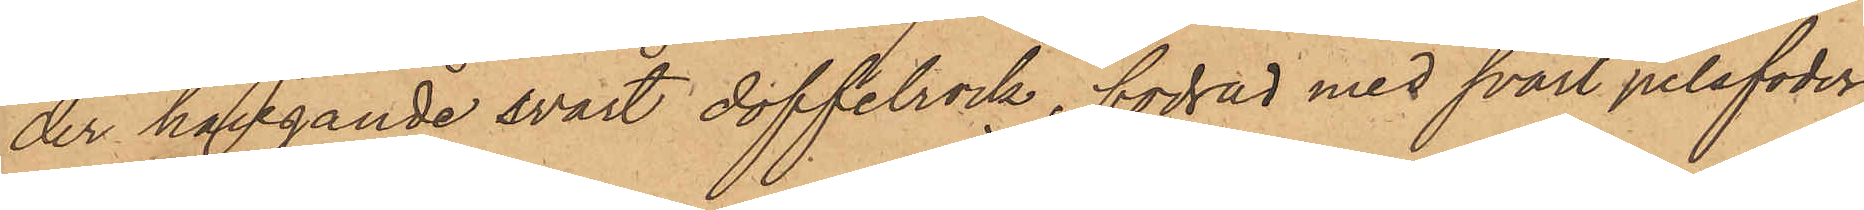der hängande svart doffelrock, fodrad med svart pelsfoder
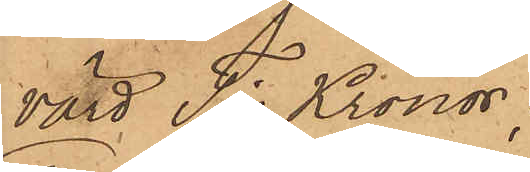värd Tio Kronor,
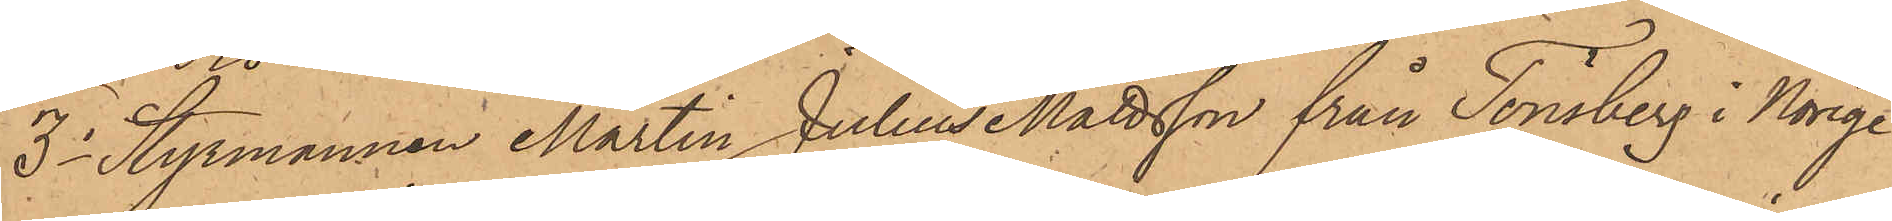3o Styrmannen Martin Julius Mattsson från Tönsberg i Norge
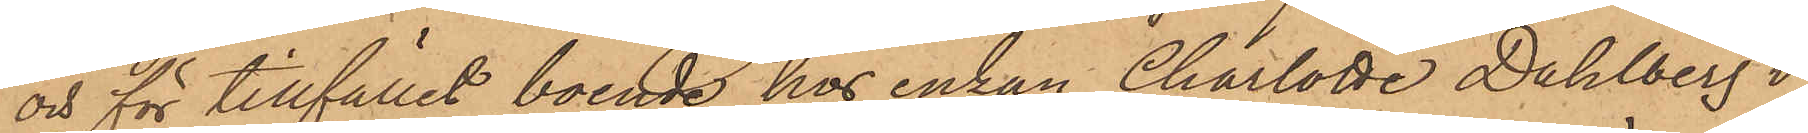och för tillfället, boende hos enkan Charlotte Dahlberg i
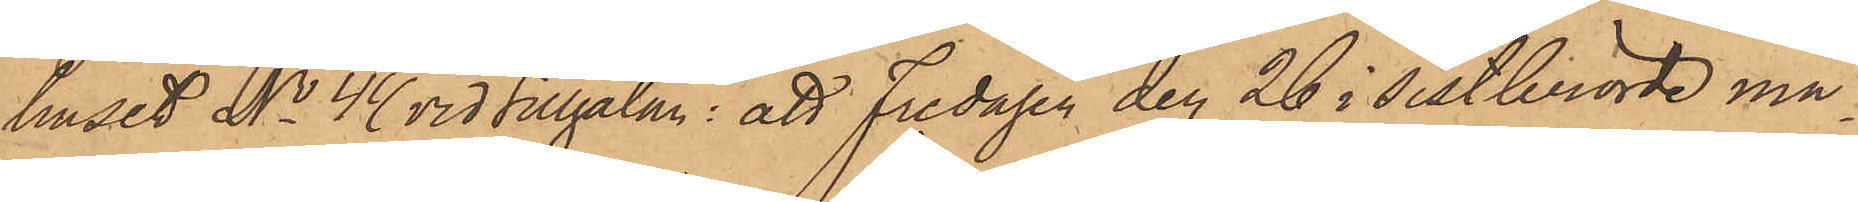huset No 44 vid Sillgatan: att Fredagen den 26 i sistberörde må¬
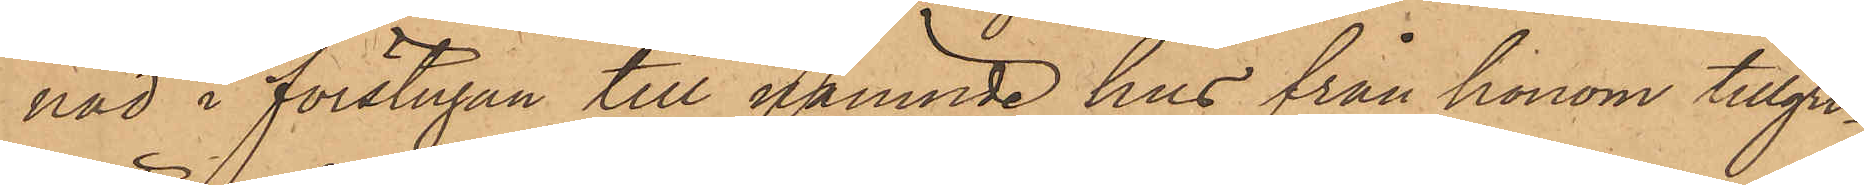nad i förstugan till nämnde hus från honom tillgri¬
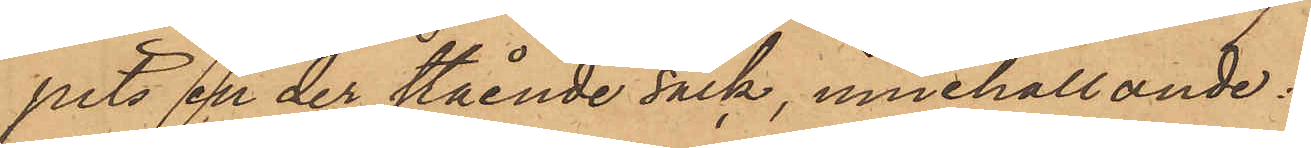pits en der stående säck, innehållande:
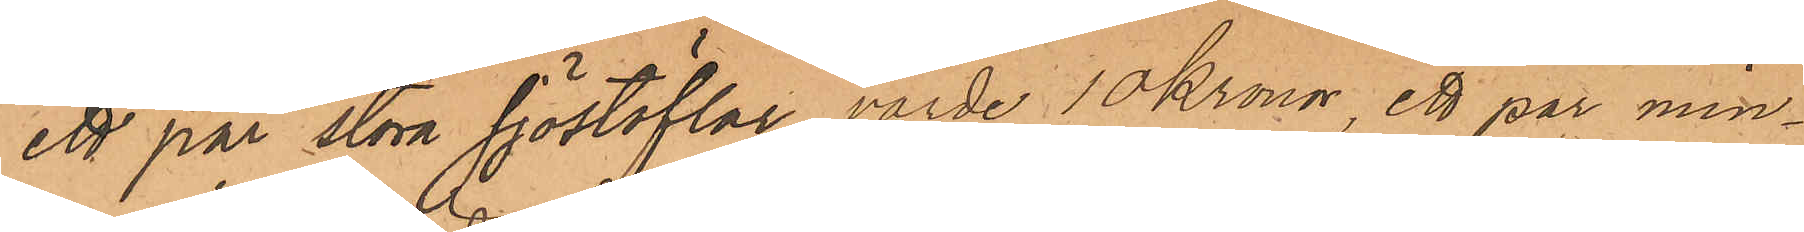ett par stora sjöstöflar, värde 10 Kronor, ett par min¬
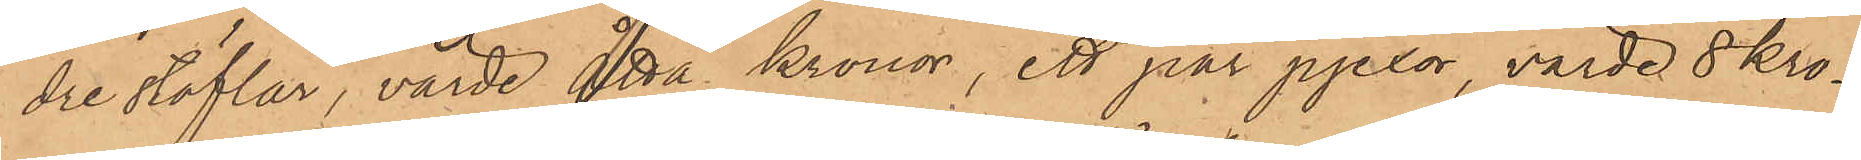dre stöflar, värde åtta kronor, ett par pjexor, värde 8 kro¬
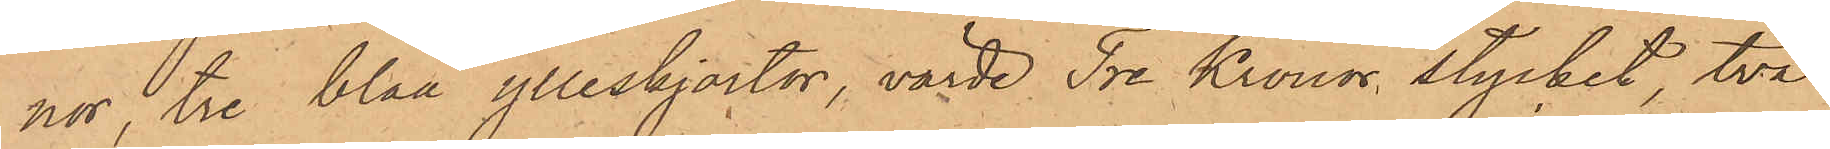nor, tre blåa ylleskjortor, värde Tre Kronor stycket, två
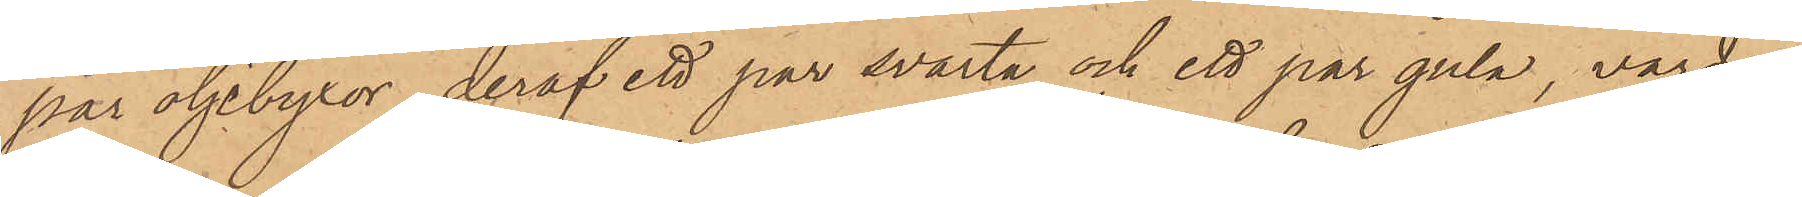par oljebyxor, deraf ett par svarta och ett par gula, värde
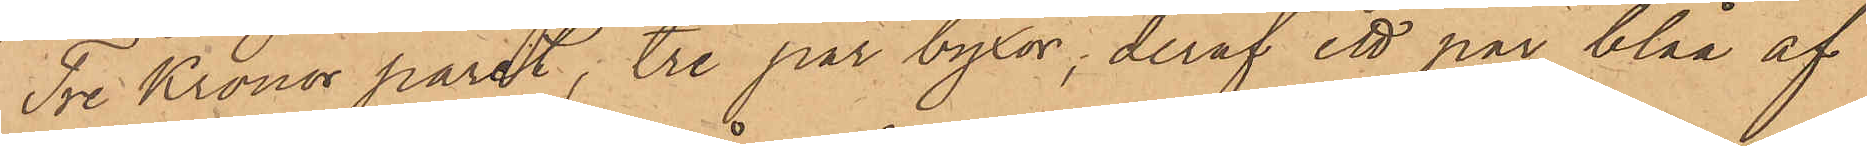Tre Kronor paret, tre par byxor, deraf ett par blåa af
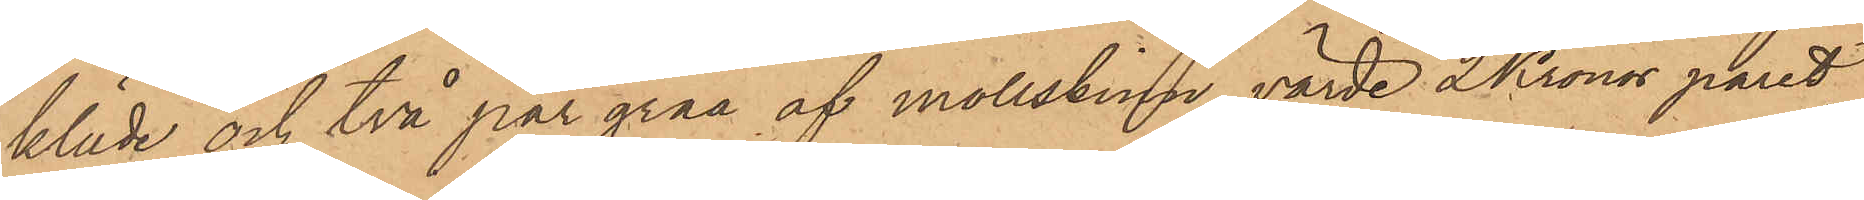kläde och två par gråa af mollskinn, värde 2 Kronor paret
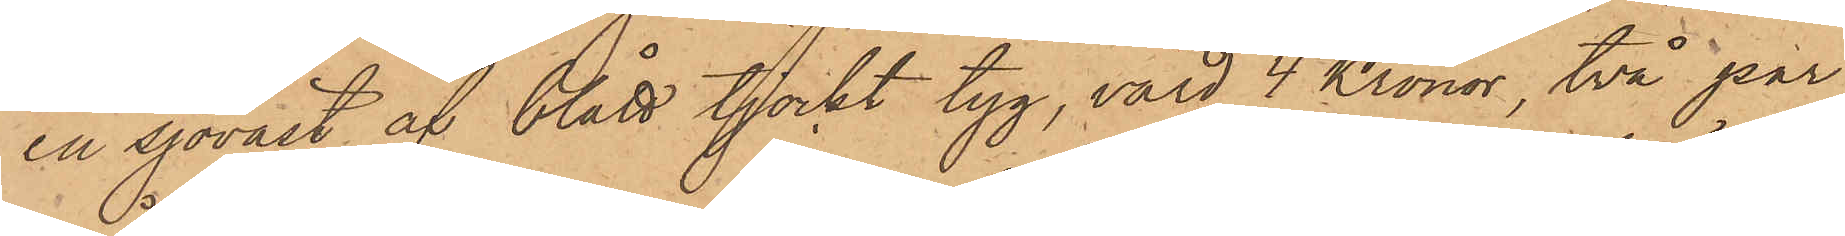en sjöväst af blått tjockt tyg, värd 4 Kronor, två par
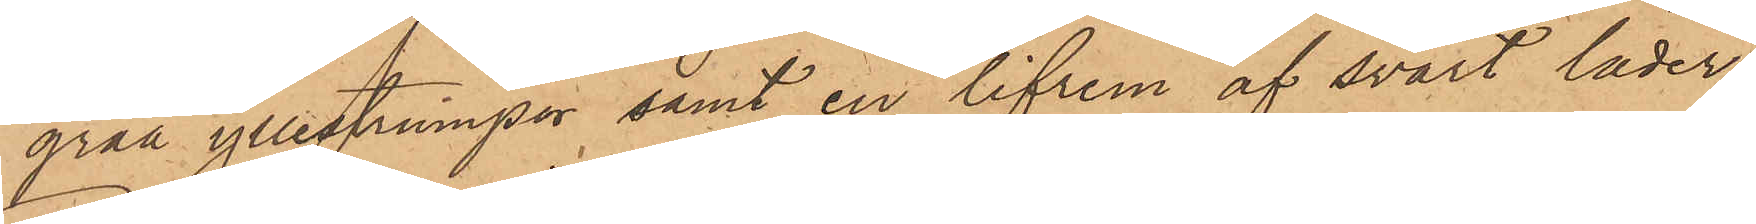gråa yllestrumpor samt en lifrem af svart läder;
